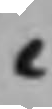C
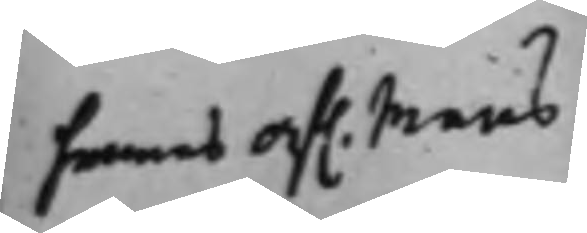hennes af. Mans
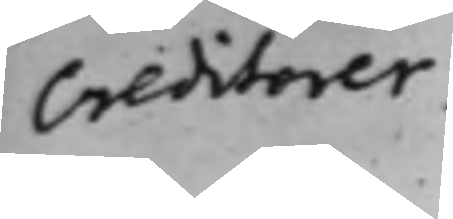Creditorer.
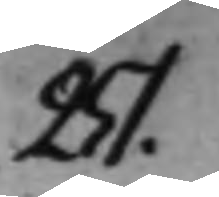251.
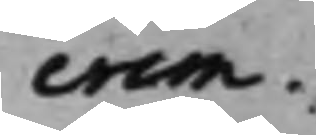crim.
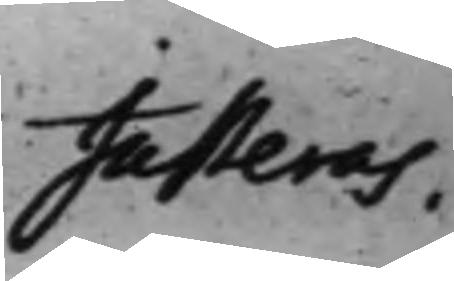Justeras,.
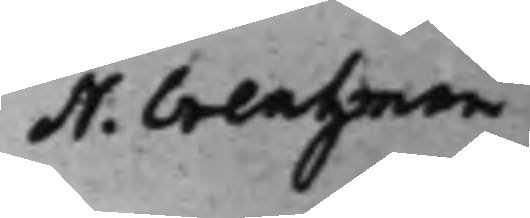N. Creutzman
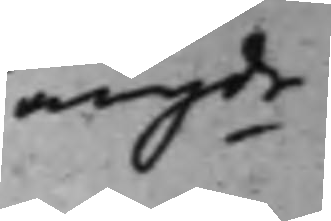angde
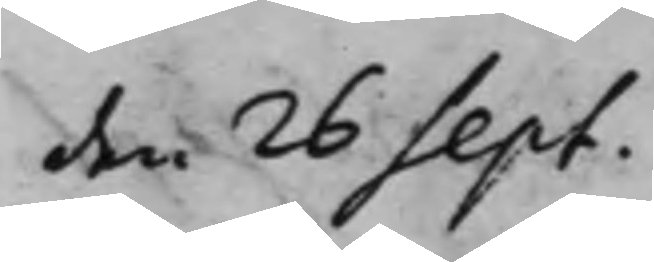den 26 Sept.
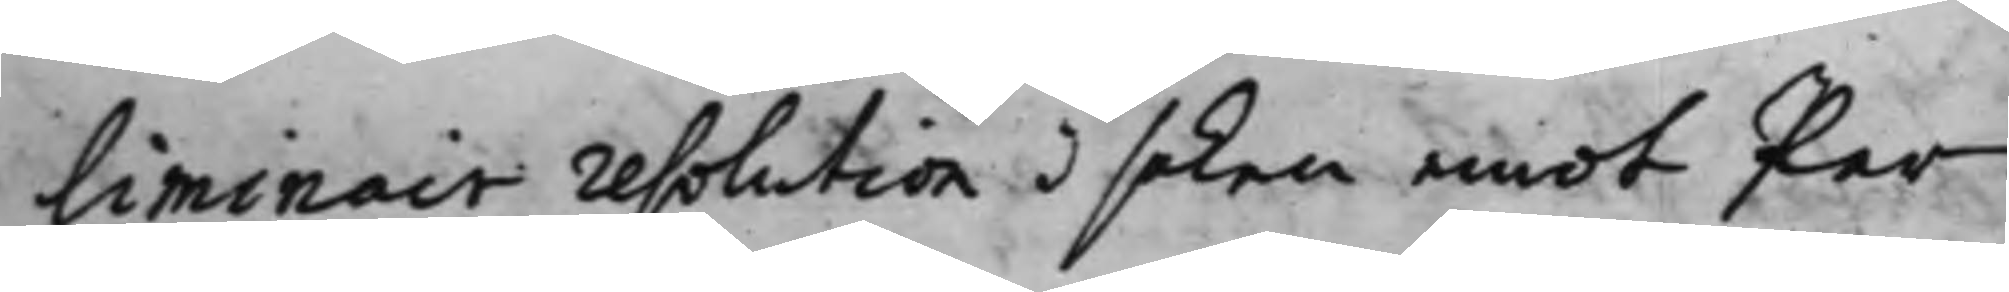liminair resolution i saken emot Per
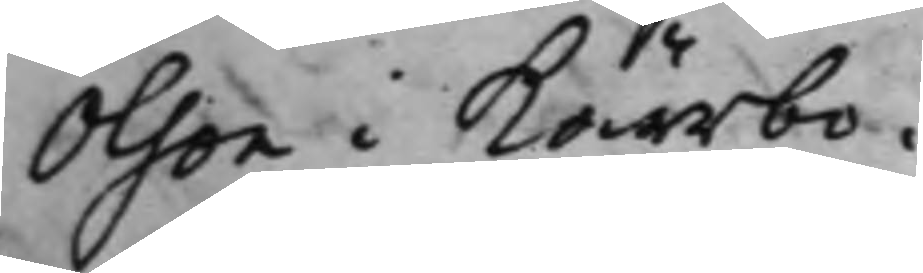Olson i Kärrbo.
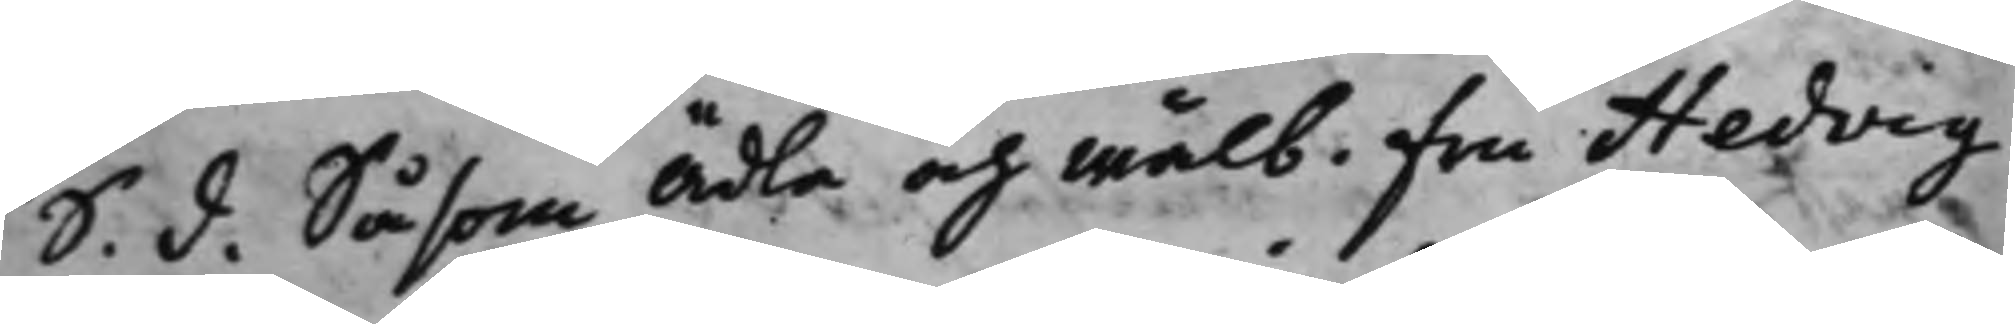S. d. Såsom Ädla och Wälb. Fru Hedvig
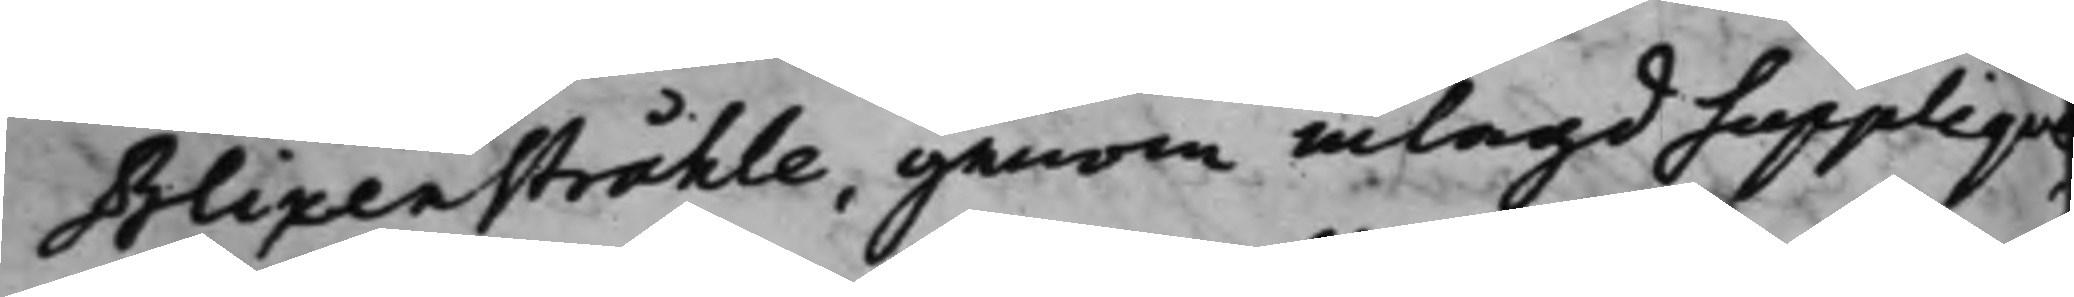Blixenstråhle, genom inlagd Supplique,
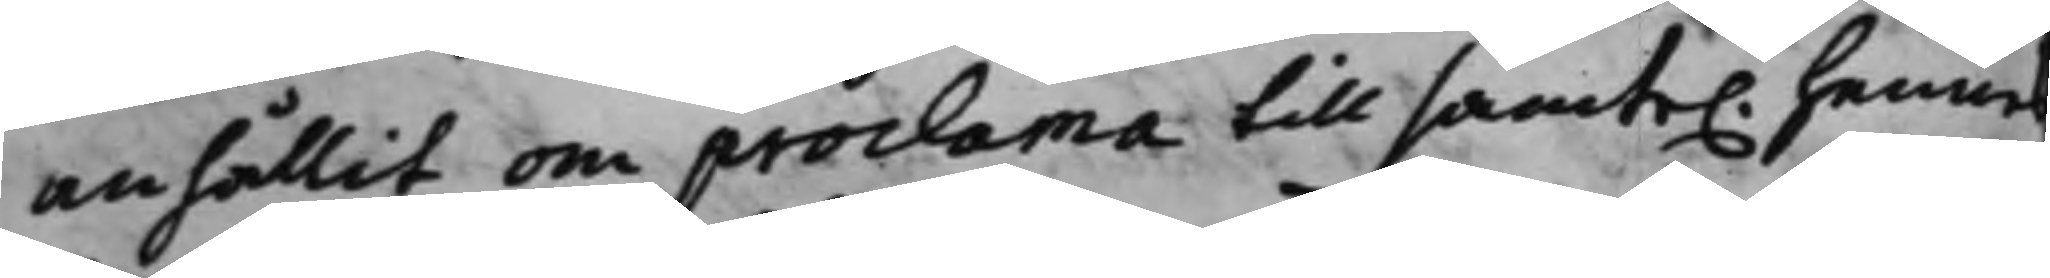anhållit om proclama till samte. hennes
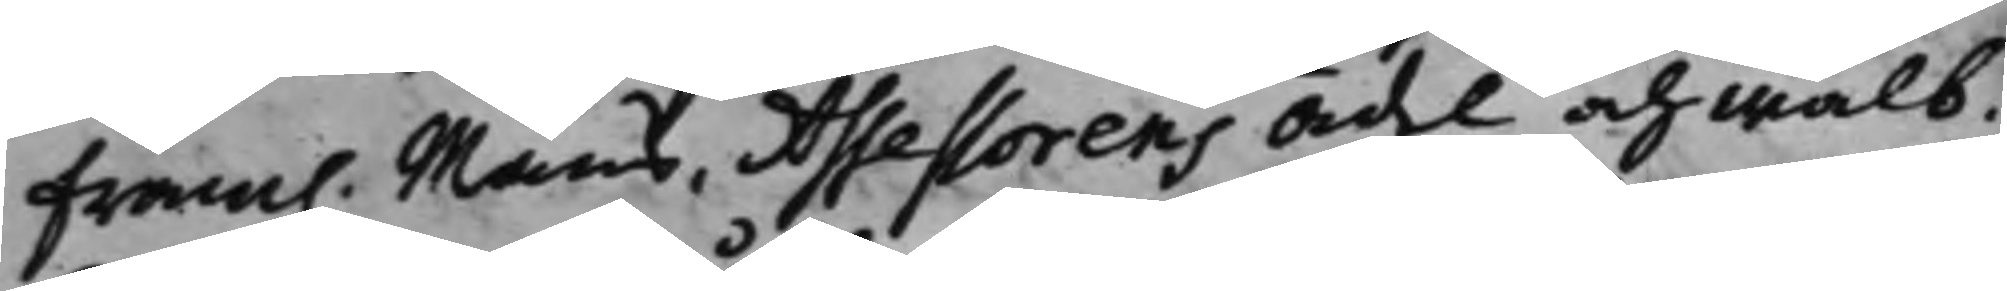fram. Mans, Assessorens Ädel och Wälb.
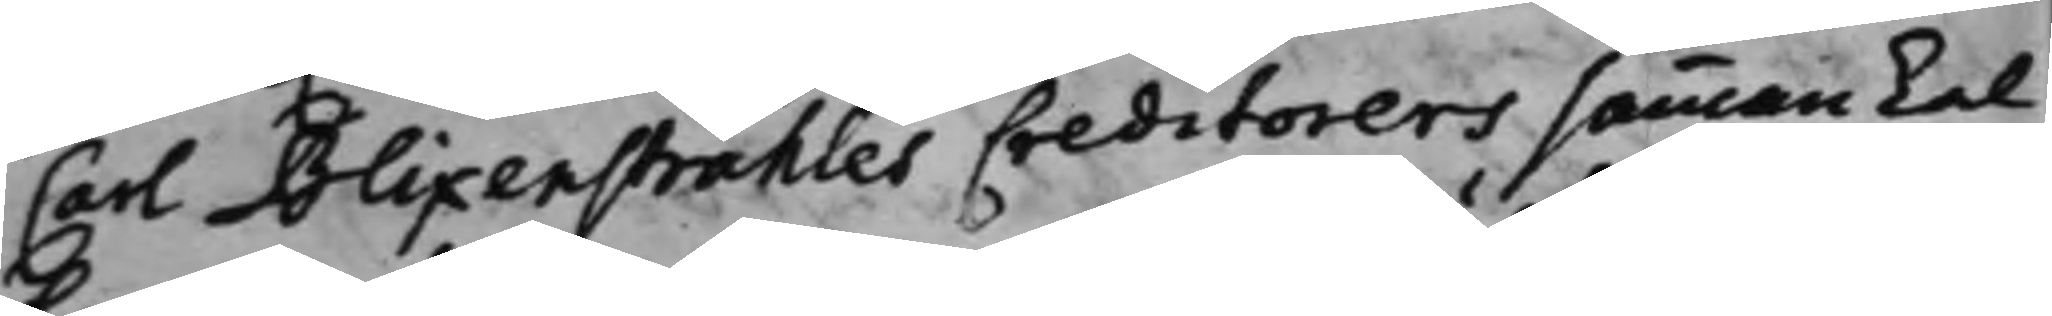Carl Blixenstråhles Creditorers sammankal¬
